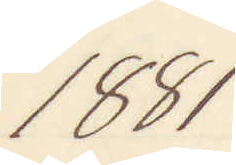1881
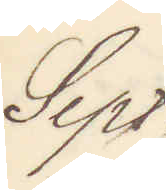Sept.
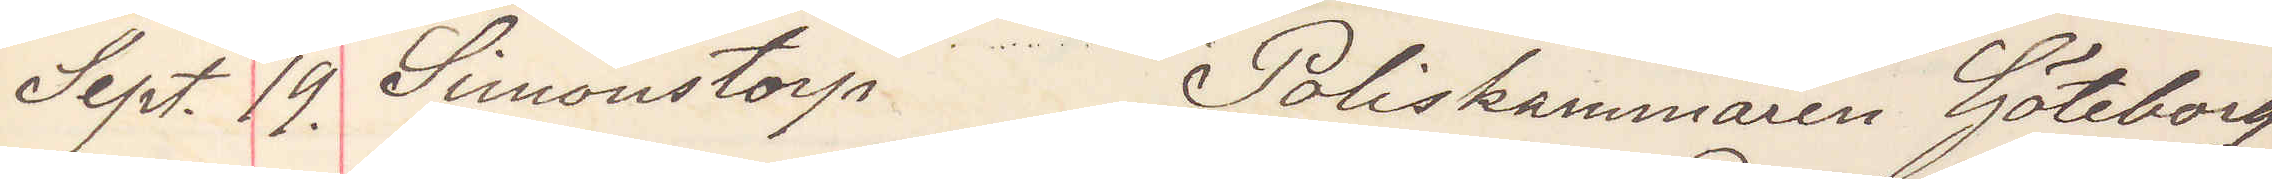Sept. 19. Simonstorp Poliskammaren Göteborg
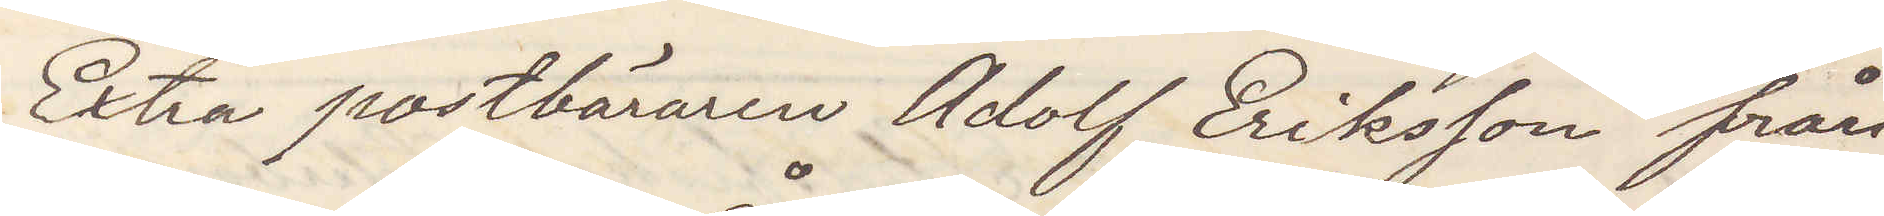Extra postbäraren Adolf Eriksson från
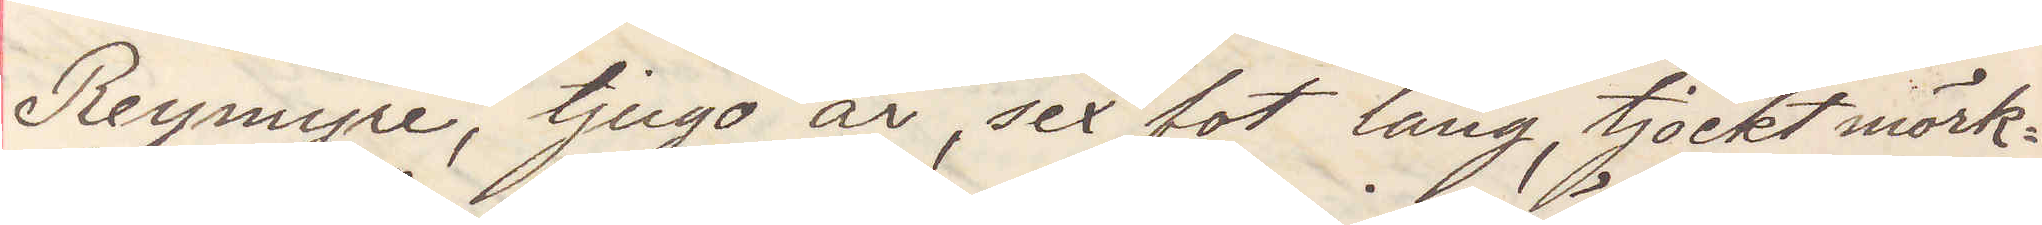Reymyre, tjugo år, sex fot lång, tjockt mörk¬
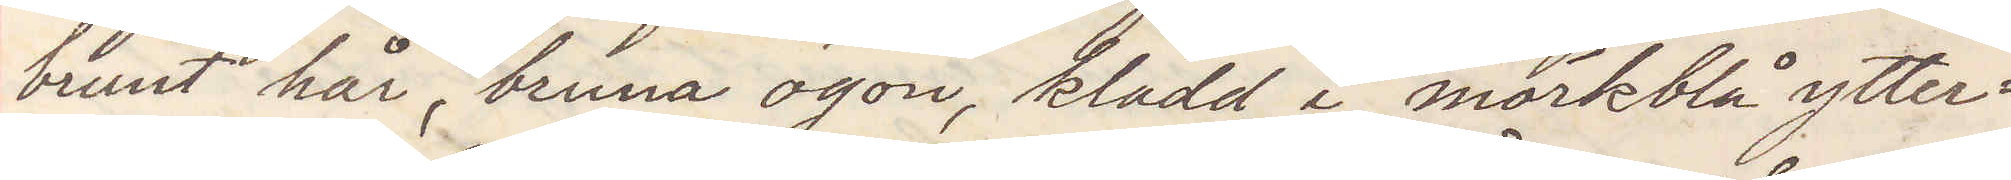brunt hår, bruna ögon, klädd i mörkblå ytter¬
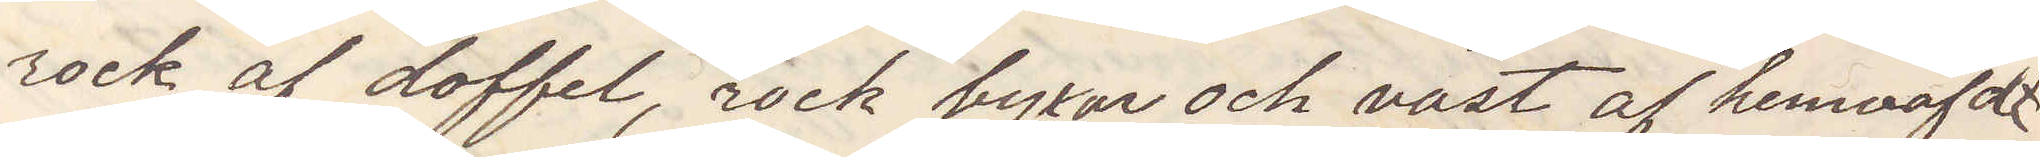rock af doffel, rock byxor och väst af hemväfdt
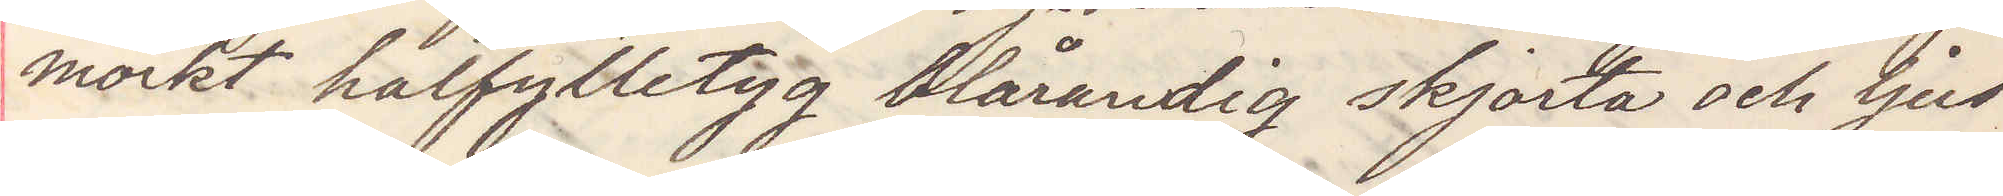mörkt halfylletyg blårandig skjorta och ljus
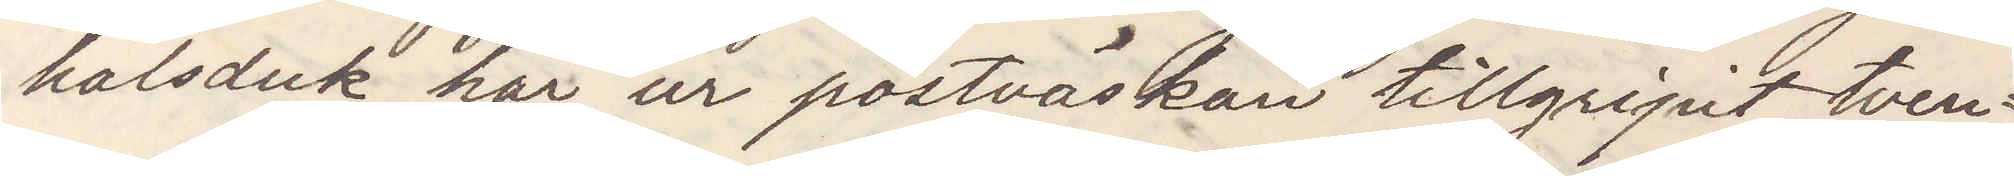halsduk har ur postväskan tillgripit tven¬
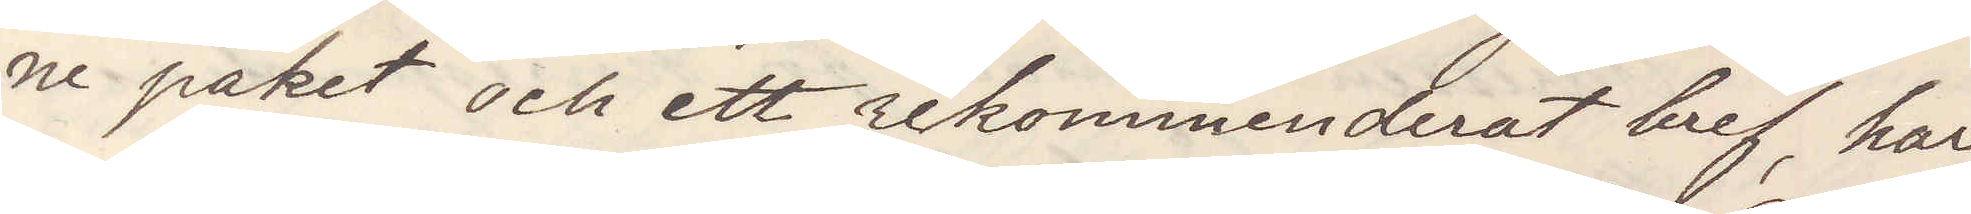ne paket och ett rekommenderat bref, har 
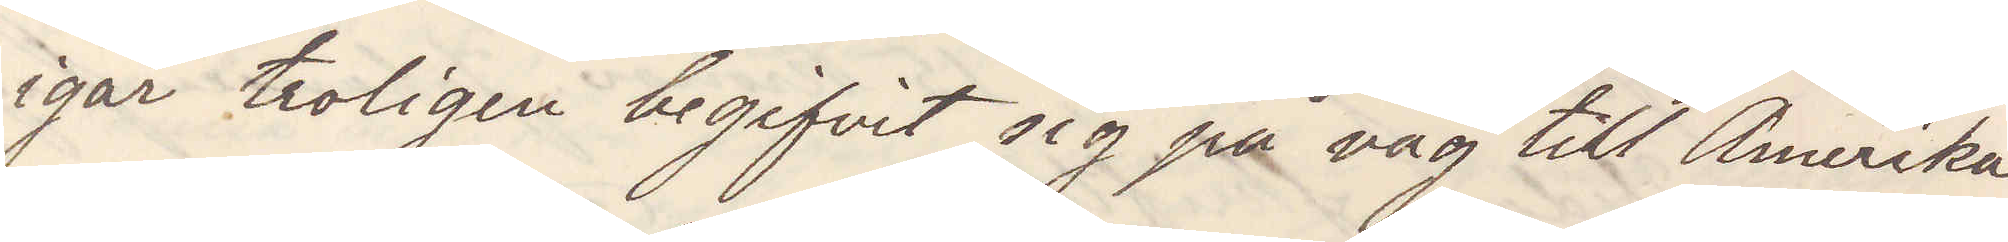igår troligen begifvit sig på väg till Amerika
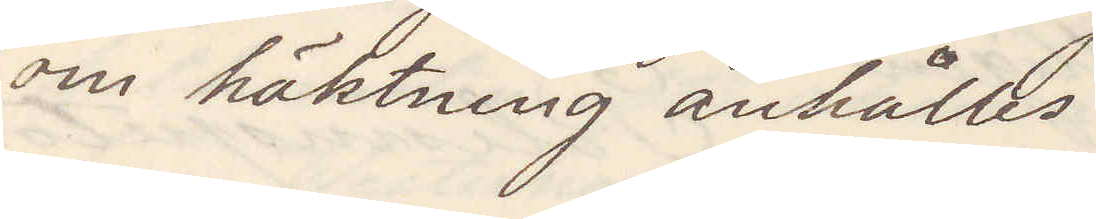om häktning anhålles.
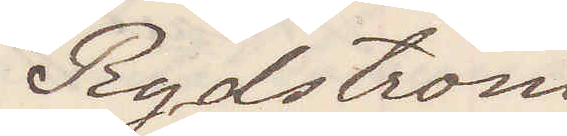Rydström
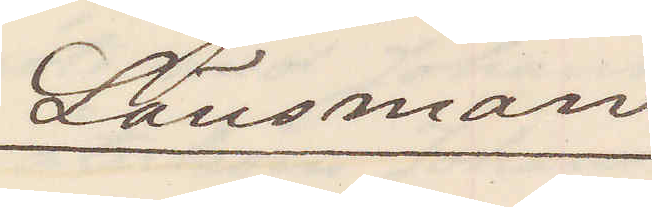Länsman
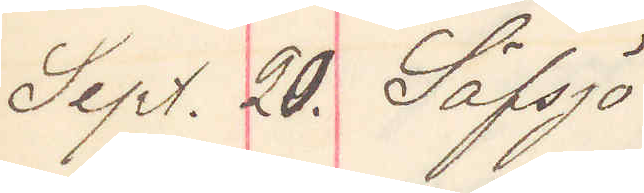Sept. 20. Säfsjö
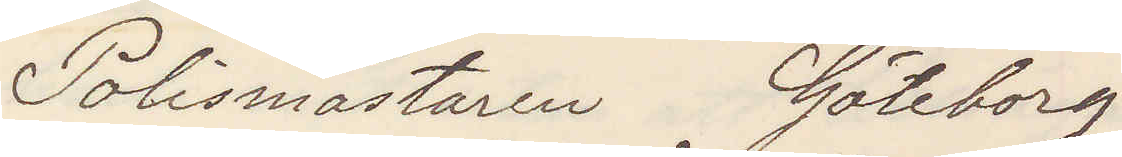Polismästaren Göteborg
